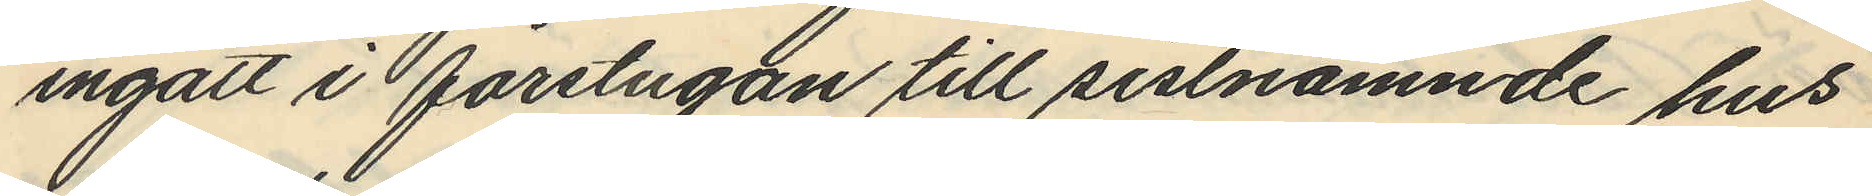ingått i förstugan till sistnämnde hus
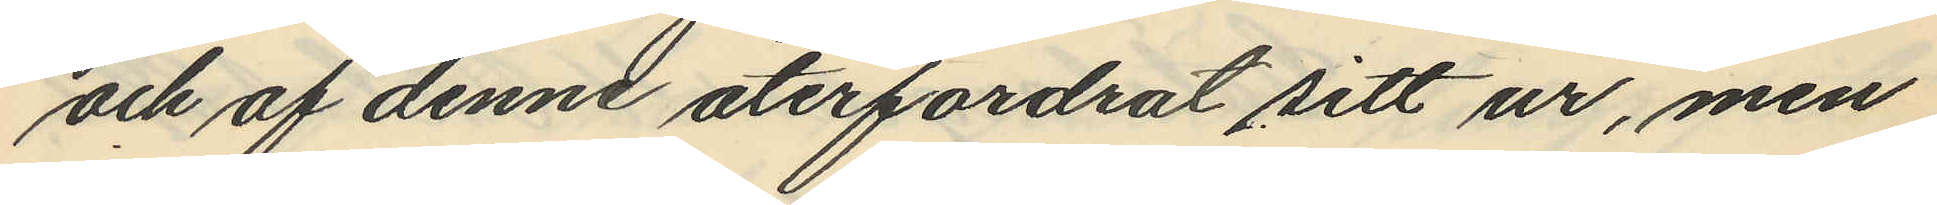och af denne återfordrat sitt ur, men
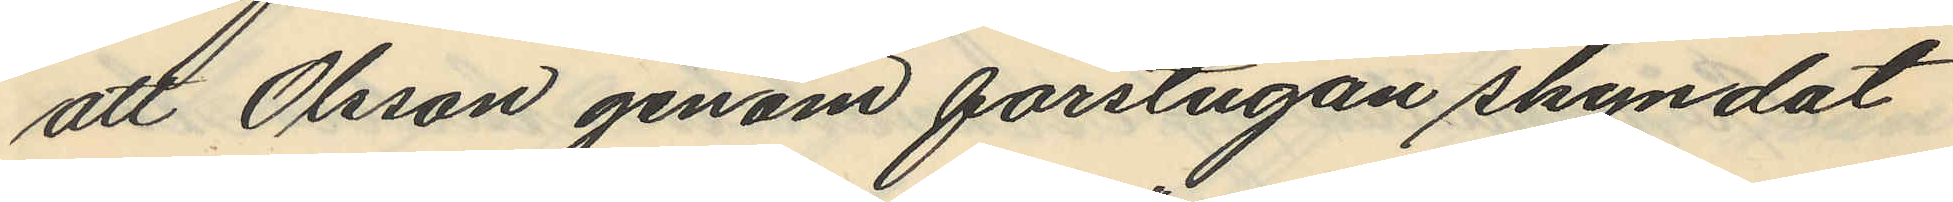att Olsson genom förstugan skyndat
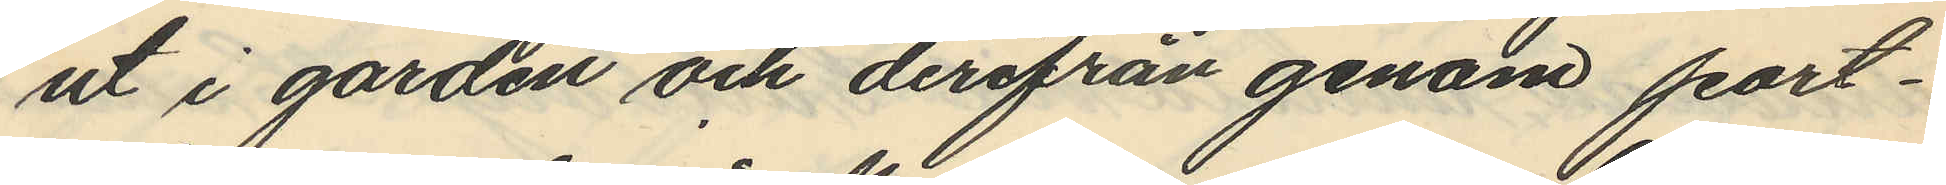ut i gården och derifrån genom port¬
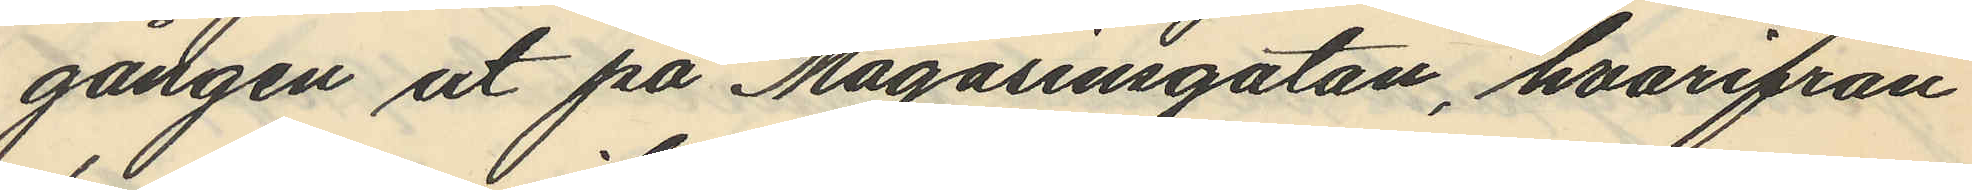gången ut på Magasinsgatan, hvarifrån
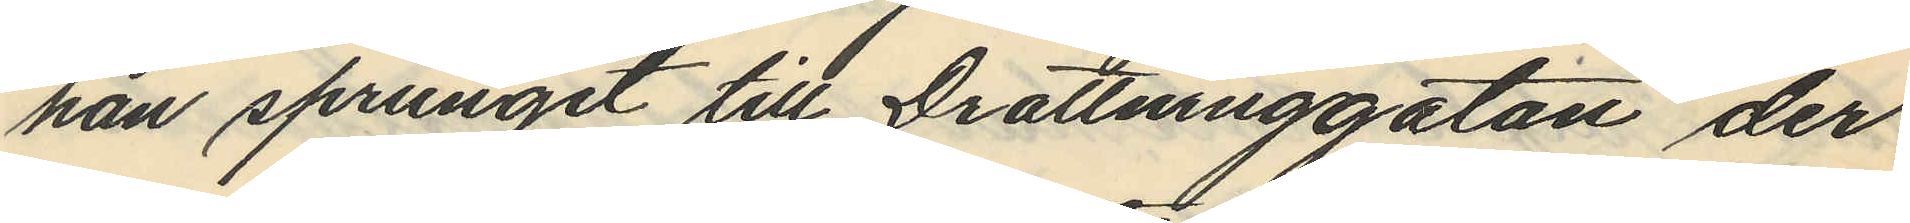han sprungit till Drottninggatan der
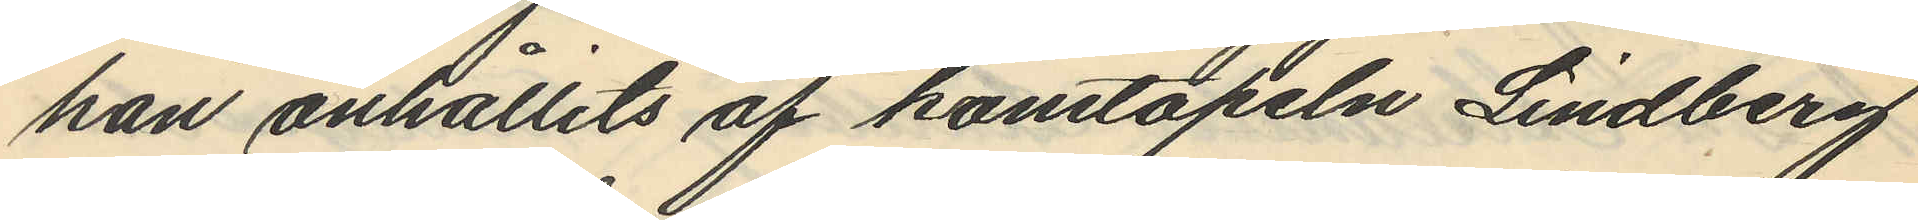han anhållits af konstapeln Lindberg
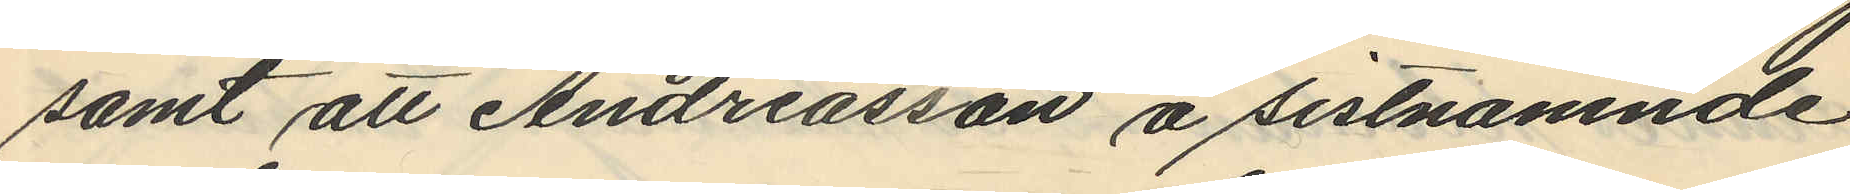samt att Andreasson å sistnämnde
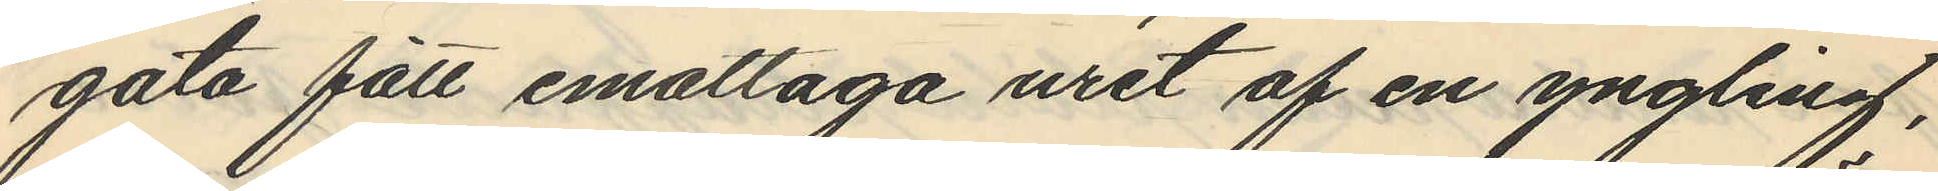gata fått emottaga uret af en yngling,
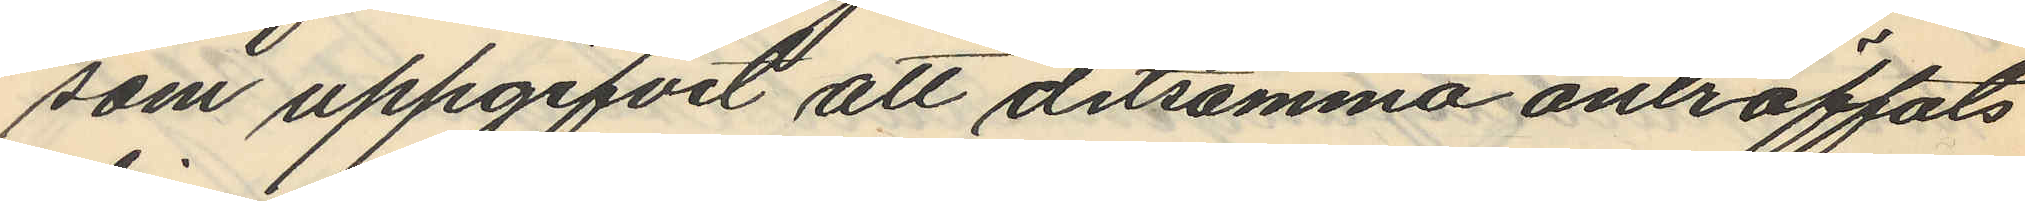som uppgifvit att detsamma anträffats
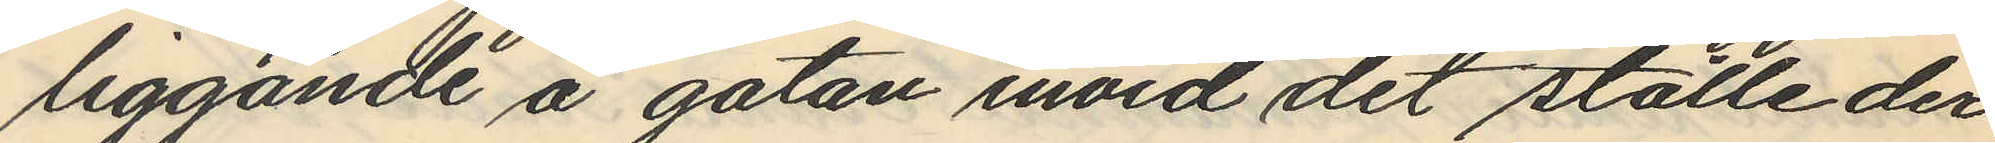liggande å gatan invid det ställe der
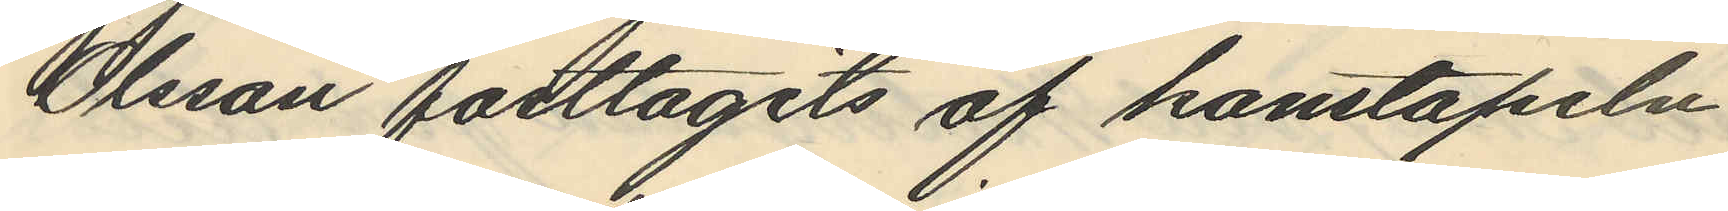Olesan fasttagits af konstapeln
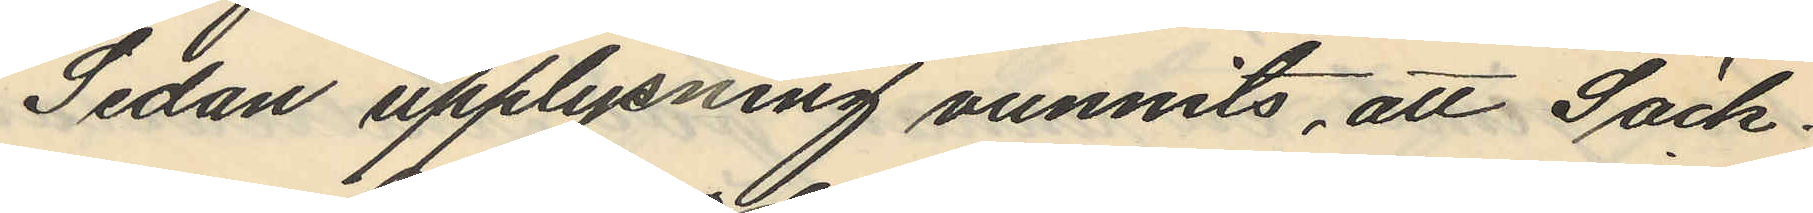Sedan upplysning vunnits, att Säck¬
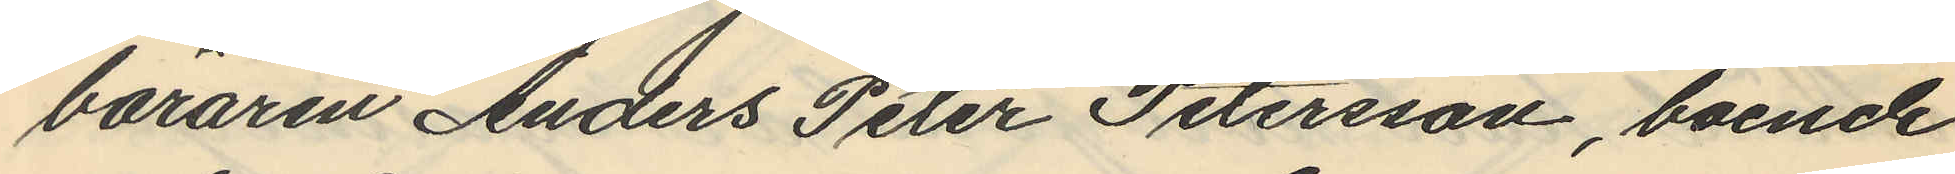bäraren Anders Peter Petersson, boende
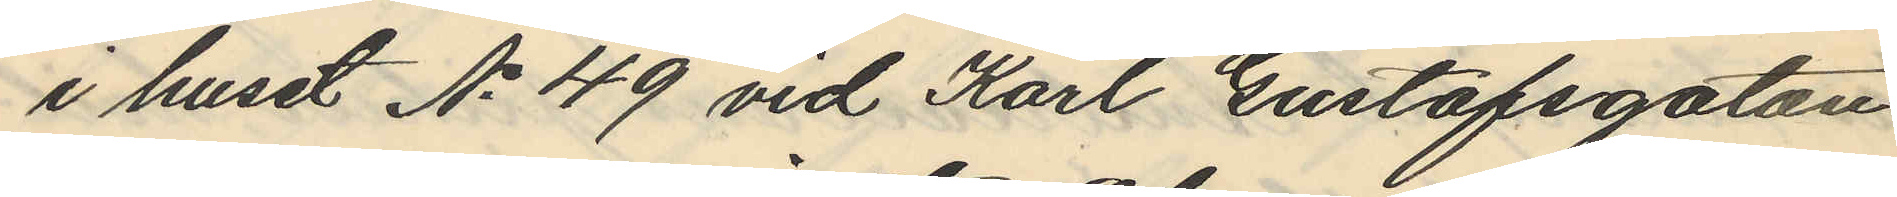i huset No 49 vid Karl Gustafsgatan
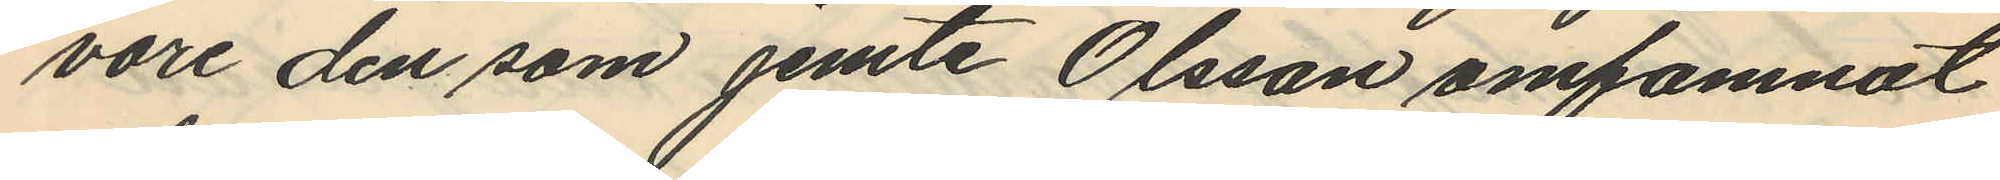vore den som jemte Olsson omfamnat
